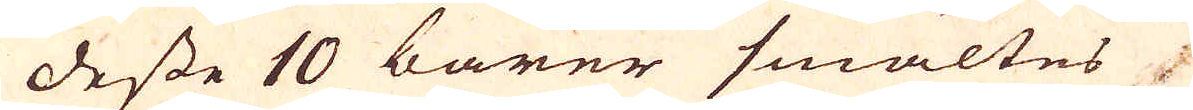desse 10 barer smältes
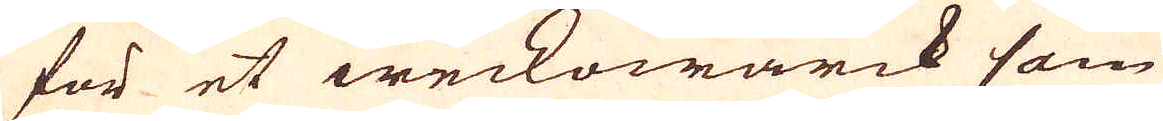för et weckowärck som
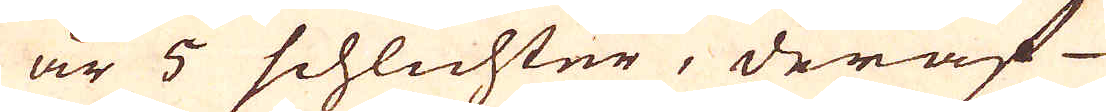är 5 schlichter, deraf
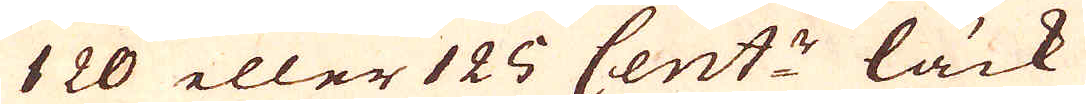120 eller 126 Cent:r läck
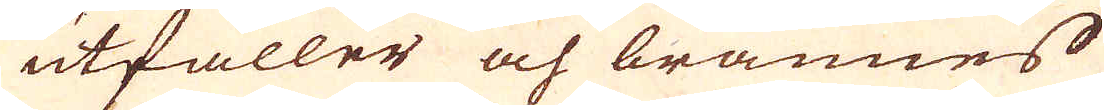utfaller och brännes
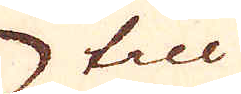till
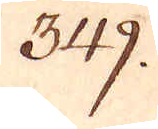349.
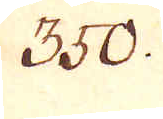350.
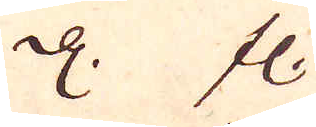d. fl
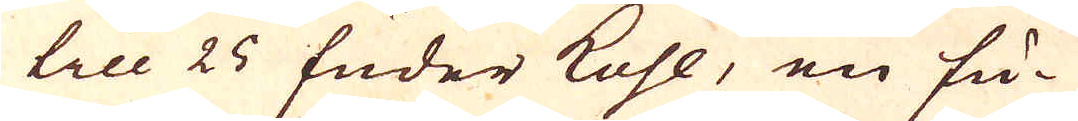till 25 fuder kohl, en fu-
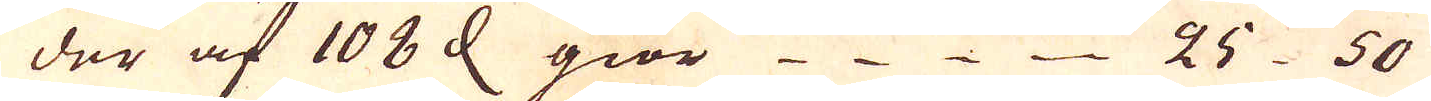der af 108 d giör 25 50
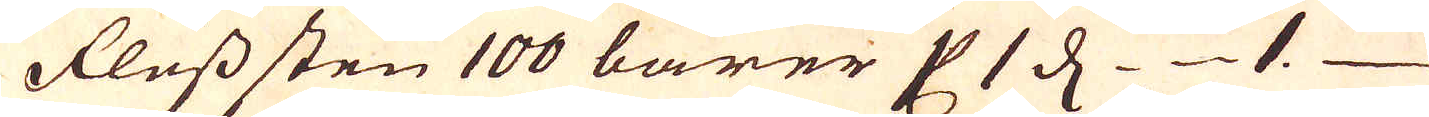Flusssten 100 barer 1 C 1 d 1.
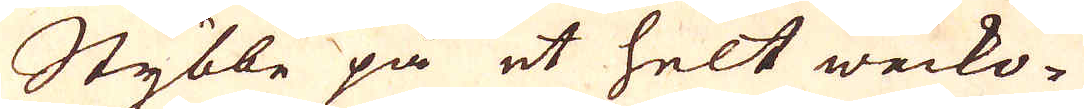Stybbe på et helt wecko-
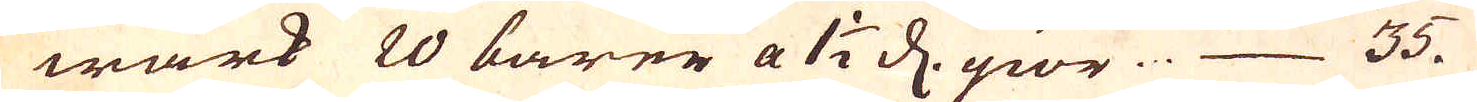wärk 20 barer a 1 1/2 d. giör ... 35.
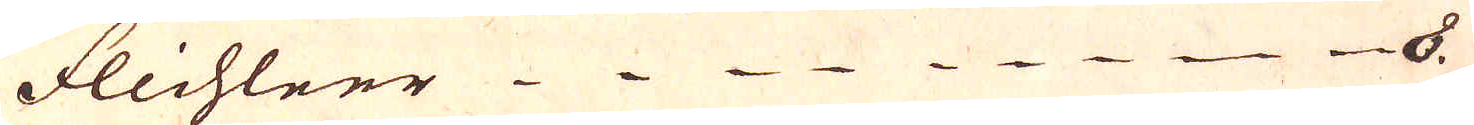flichleer 8.
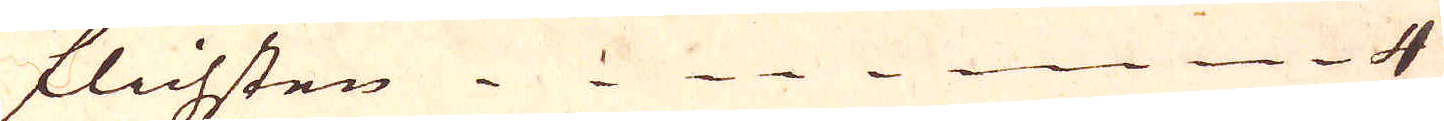flichsten 4 
